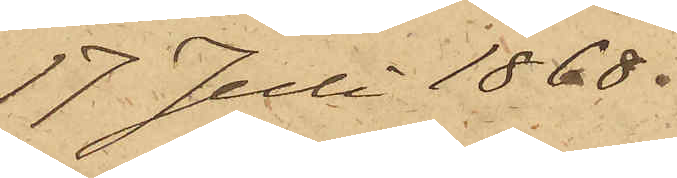17 Juli 1868.
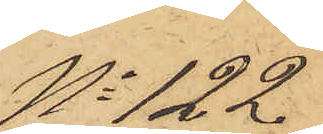No 122.
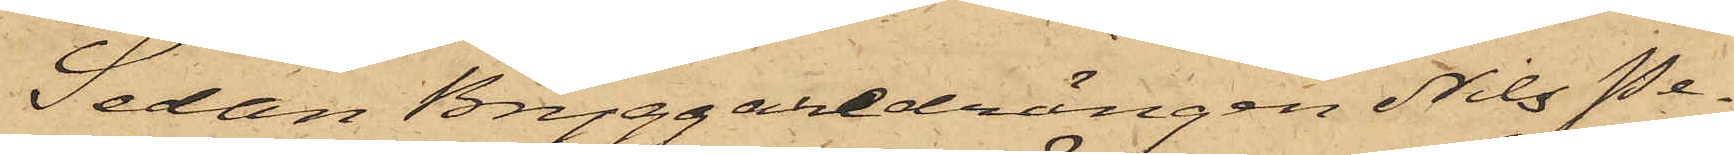Sedan Bryggaredrängen Nils Pe¬
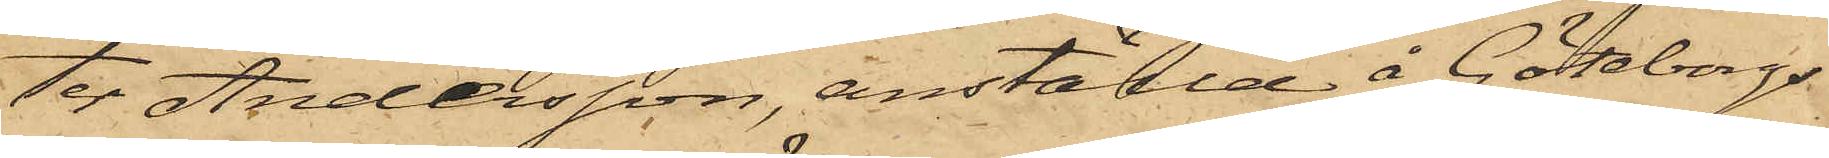ter Andersson, anställd å Göteborgs
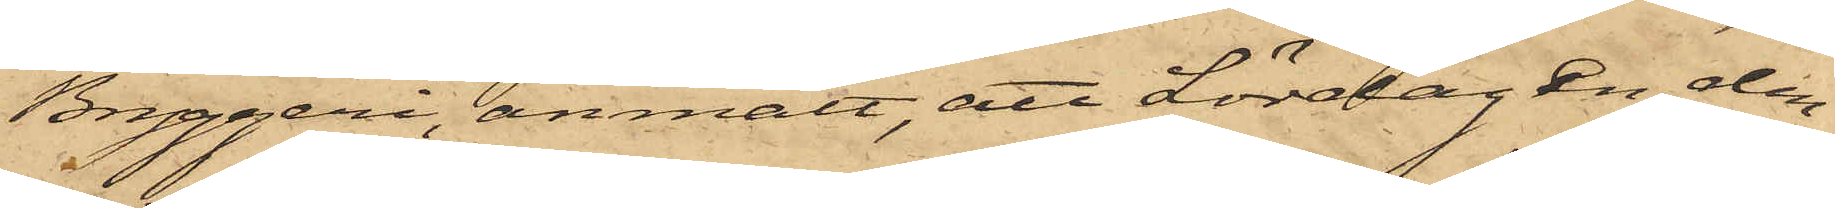Bryggeri, anmält, att Lördagen den
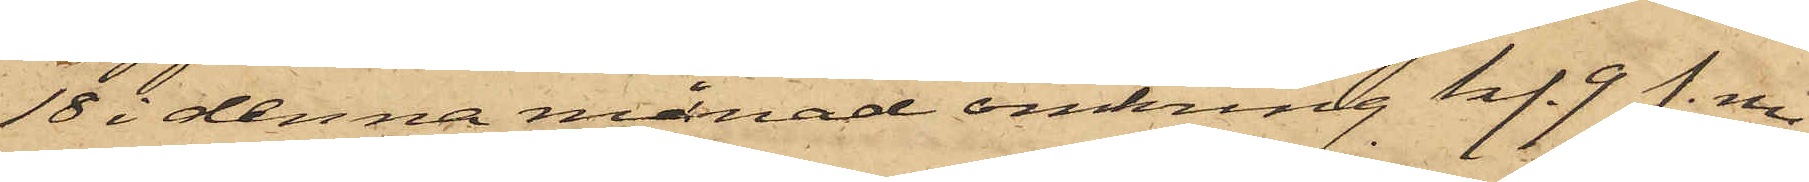18 i denna månad omkring kl. 9 f. m.
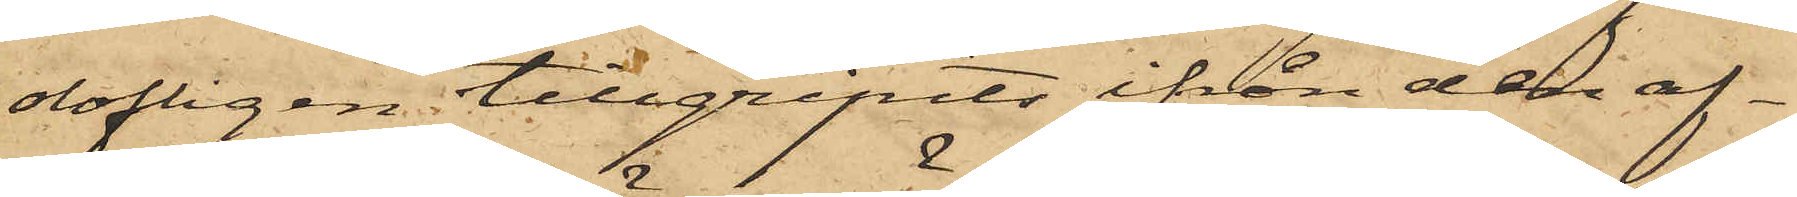olofligen tillgripits ifrån den af
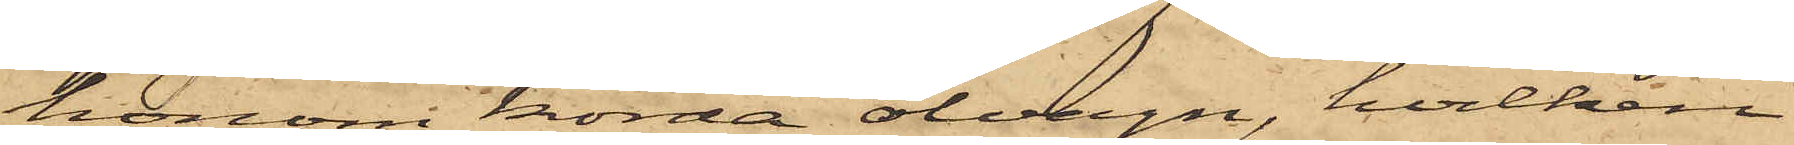honom körda ölvagn, hvilken
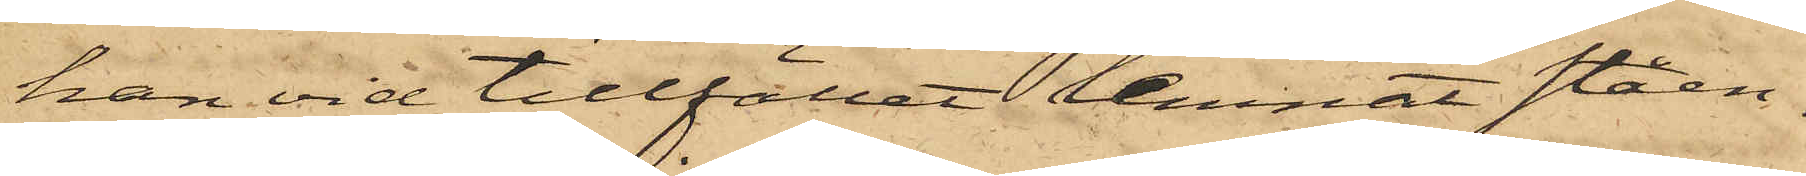han vid tillfället lemnat ståen¬
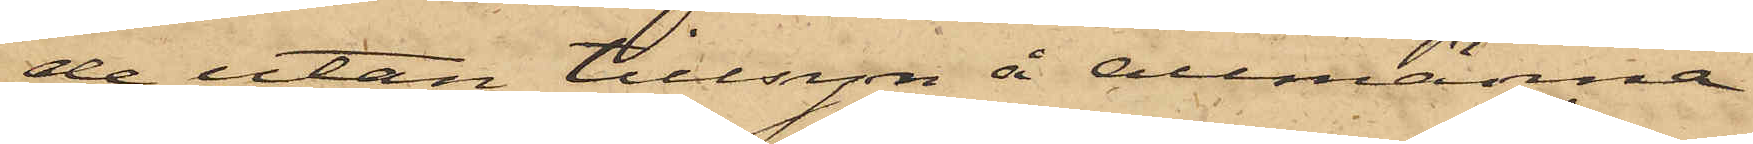de utan tillsyn å Allmänna
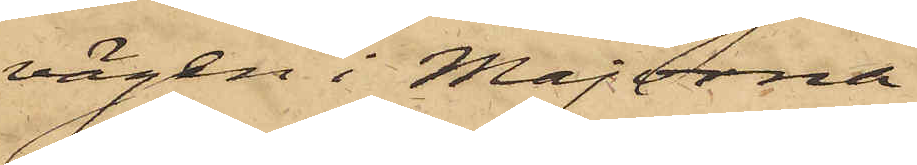vägen i Majorna
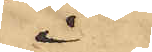i
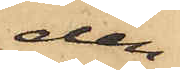den
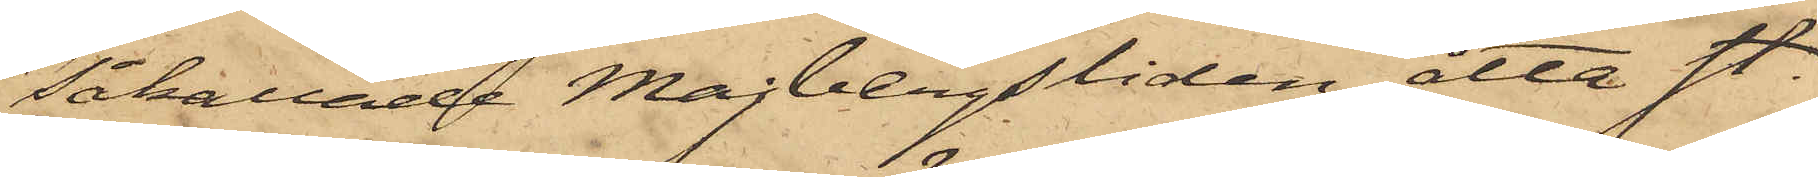såkallade Majbergsliden, åtta st.
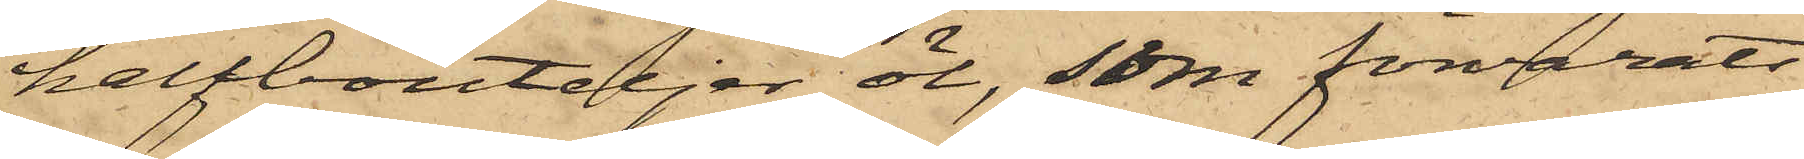halfbouteljer öl, som förvarats
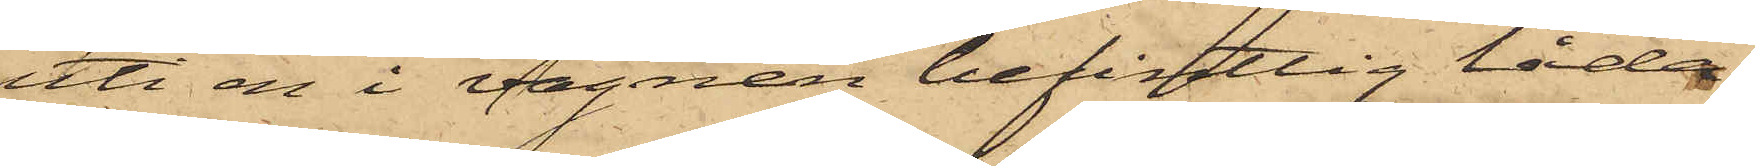uti en i vagnen befintlig låda,
